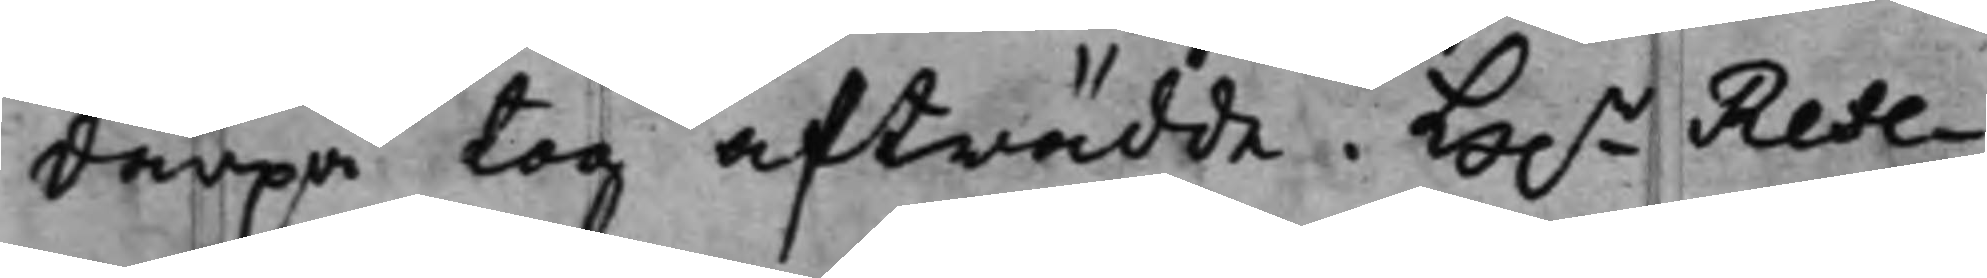därpå tog afträdde. H.r Refe¬
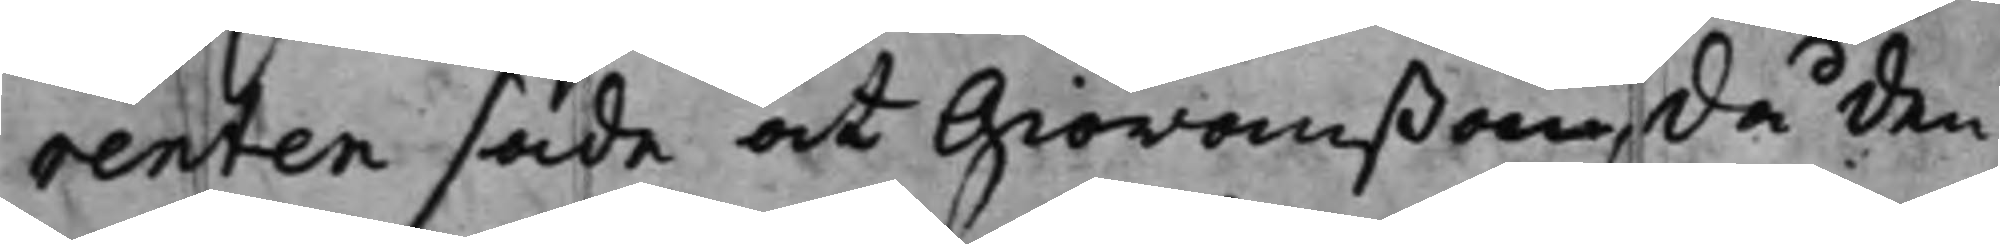renten sade at Giöranßon, då den¬
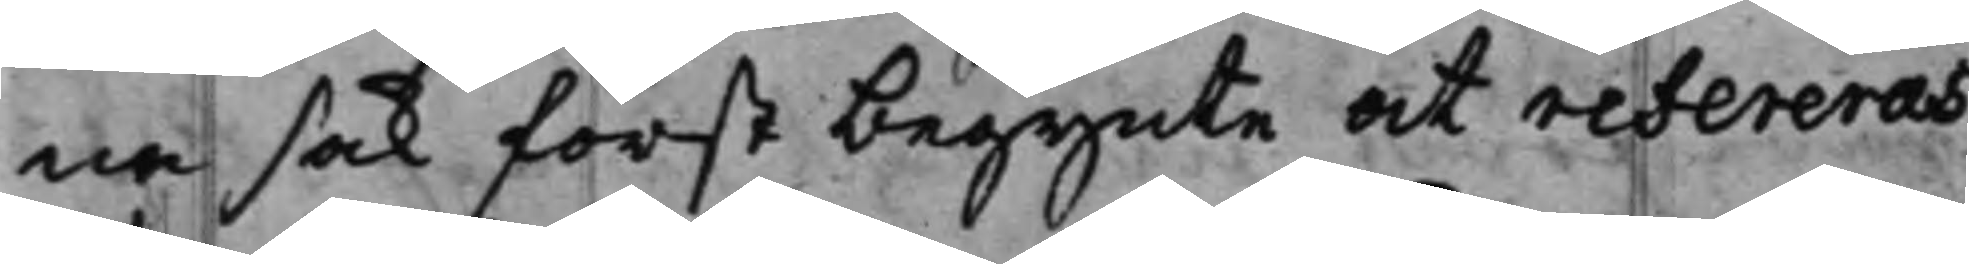na sak först begynte at refereras,
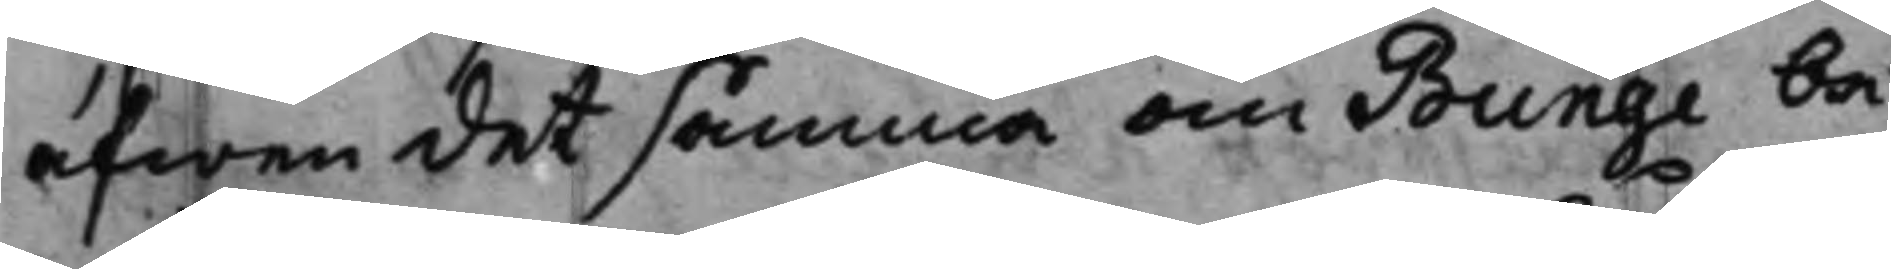äfwen det samma om Bunge be¬
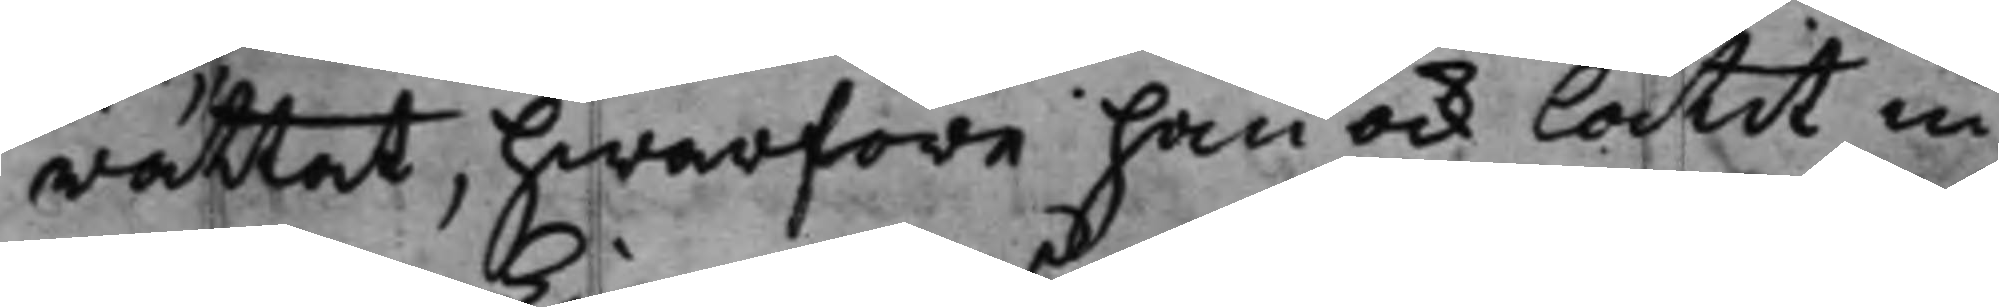rättat, hwarföre han ock låtit in
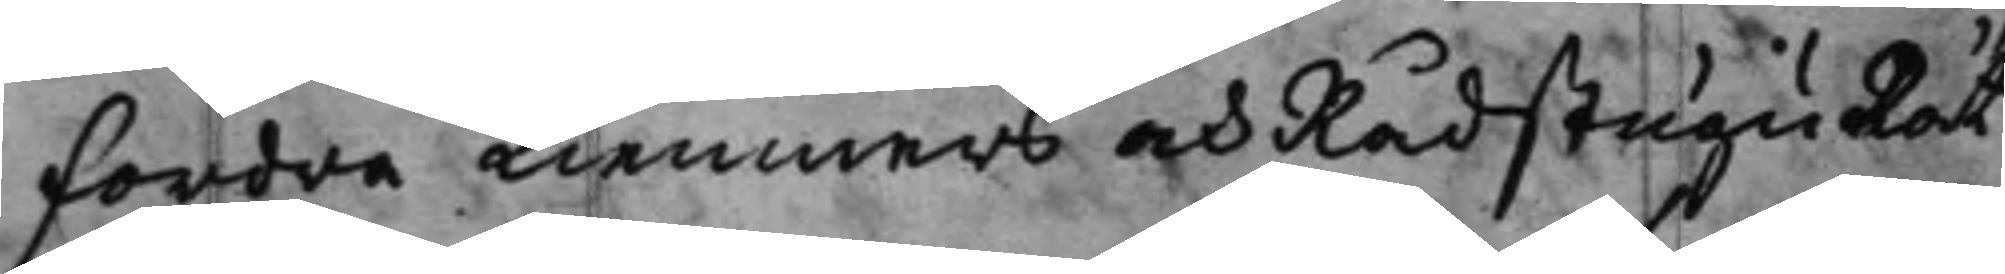fordra Kiemners och RådstuguRät¬
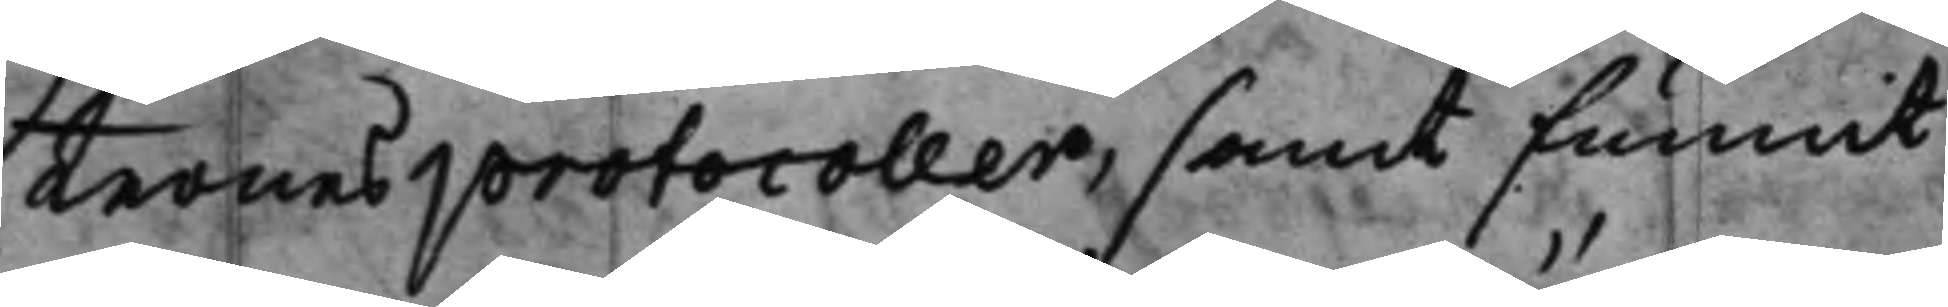ternes protocoller, samt funnit
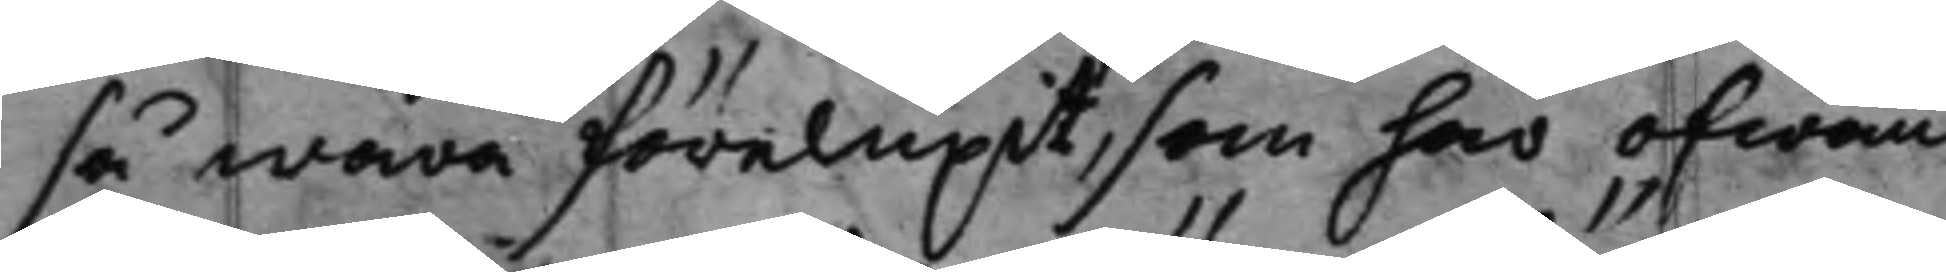så wara förelupit, som här ofwan¬
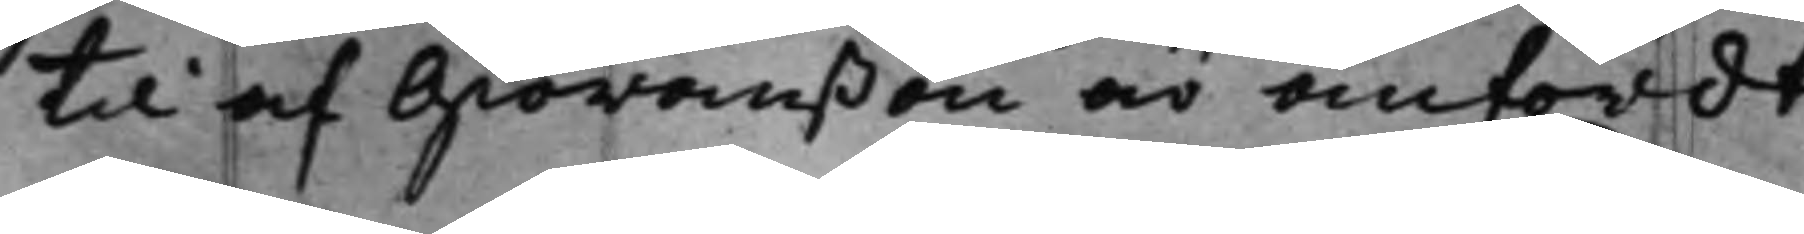til af Giöranßon är anfördt.
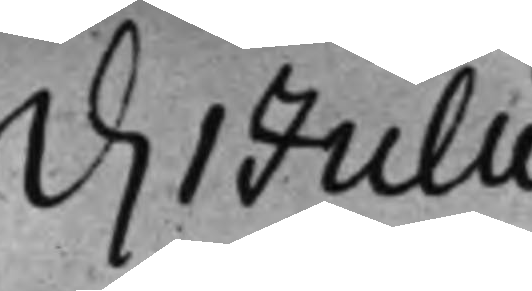d. 1 Julii
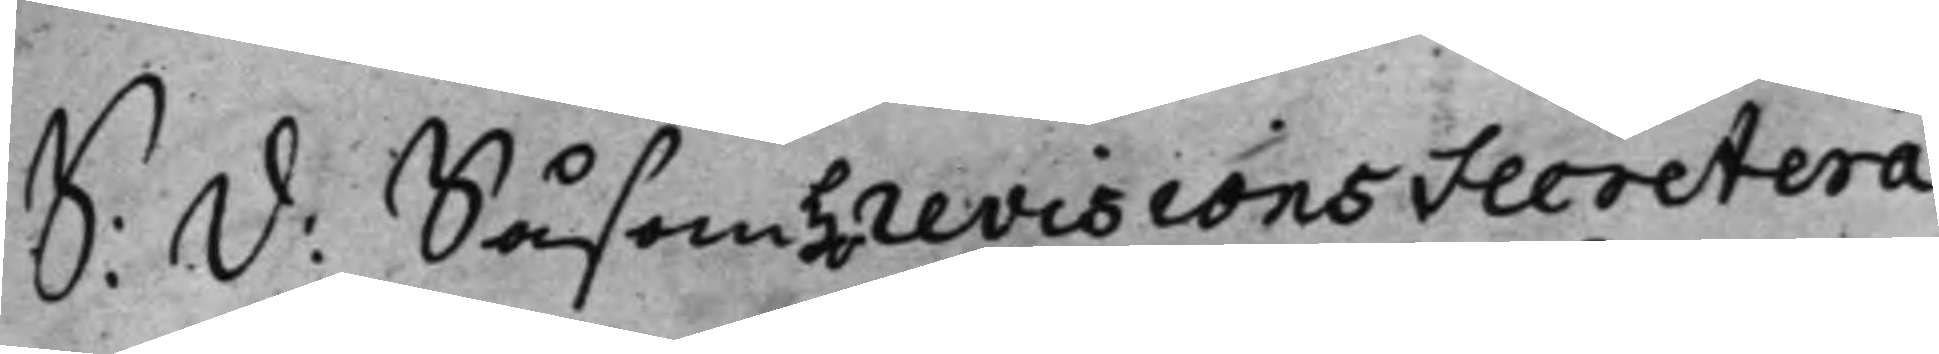S: d: Såsom H. revisions Secretera¬
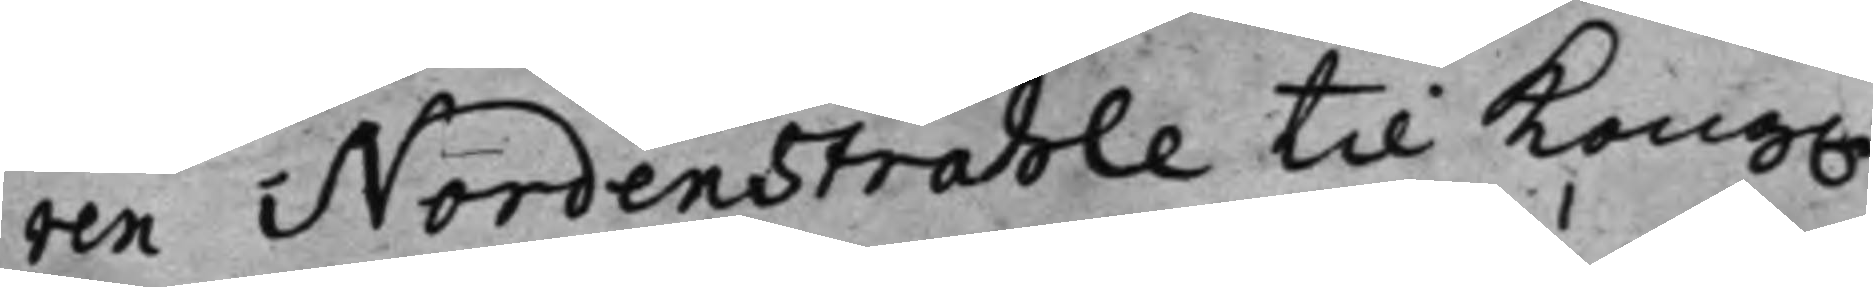ren Nordenstråhle til Kong.
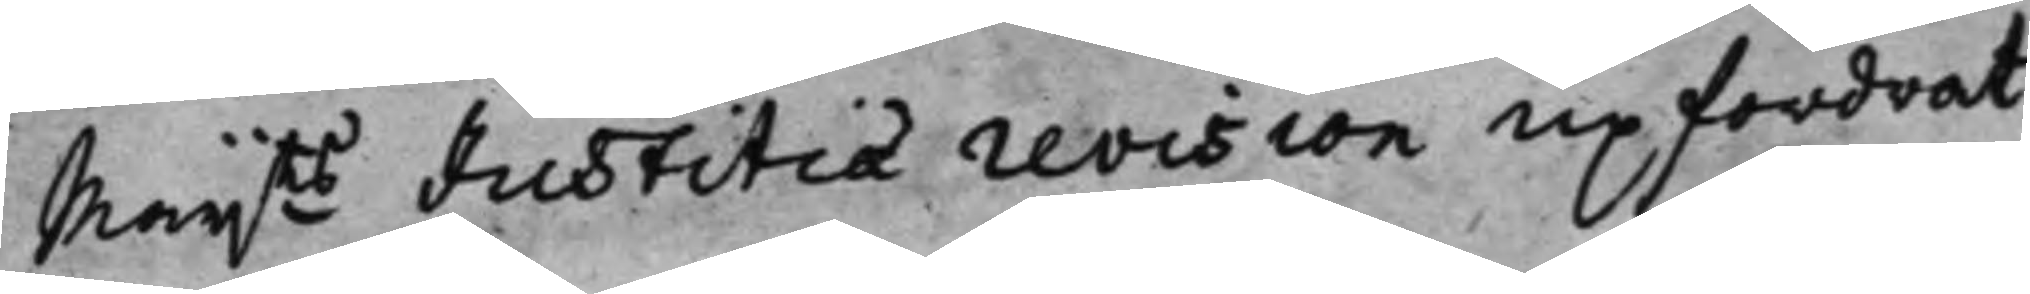Maijts Justitiae revision upfordrat
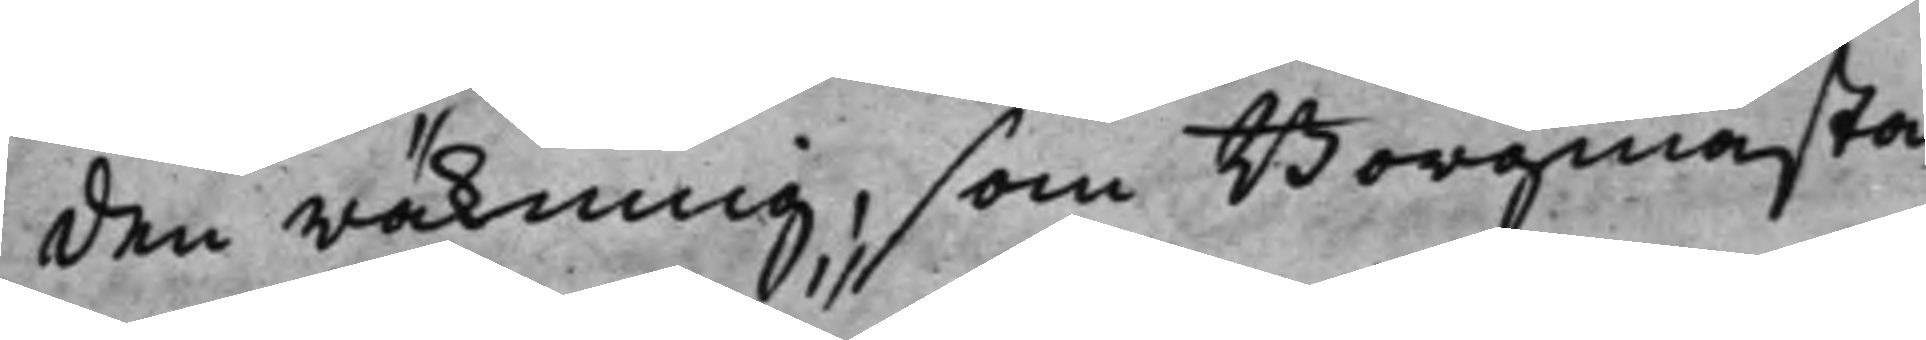den räkning, som Borgmästa¬
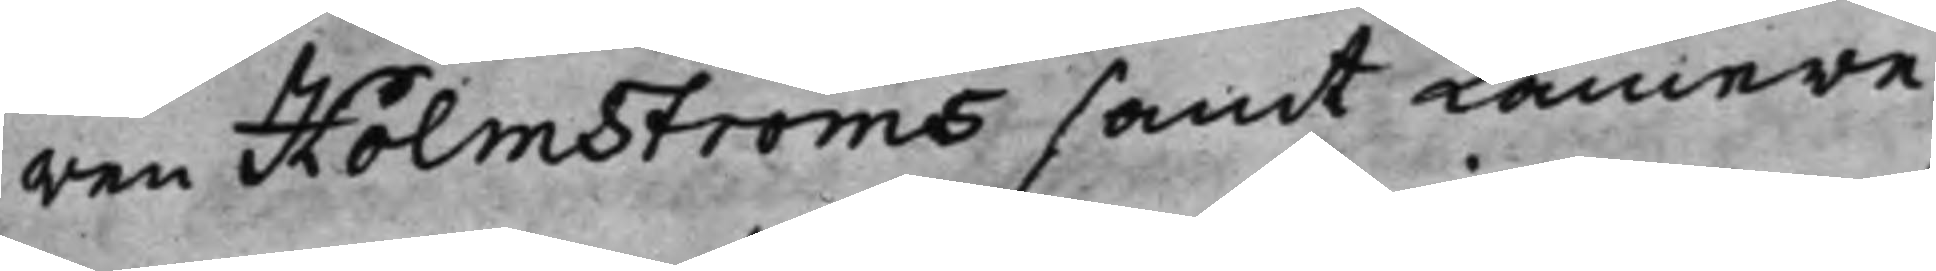ren Holmströms samt Kamere¬
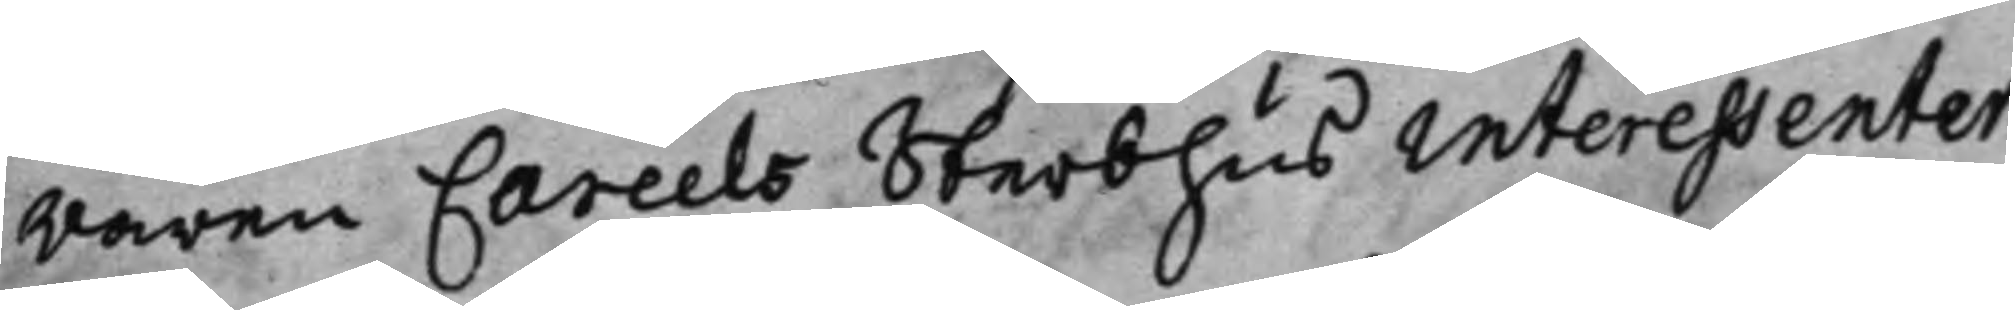raren Carels Sterbhus interessenter,
